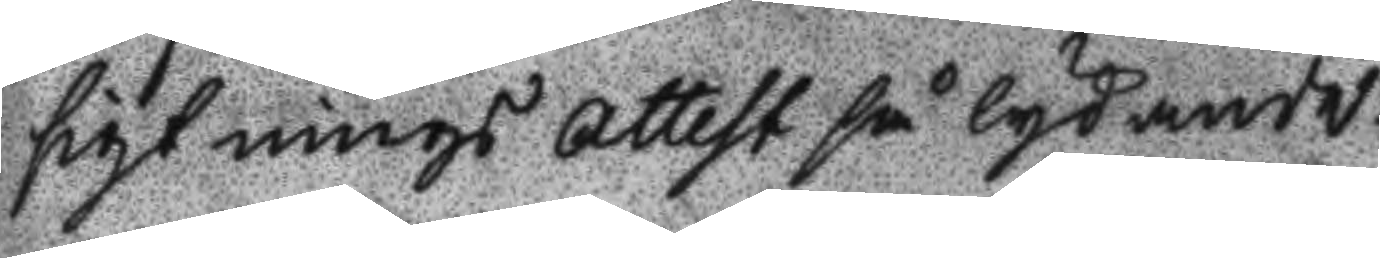sigtnings Attest så lydande:
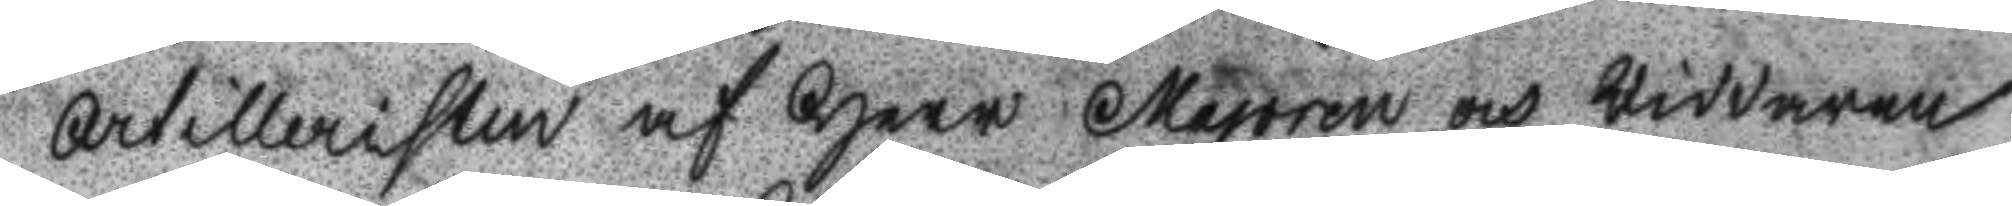Artilleristen af Herr Majoren och Riddaren
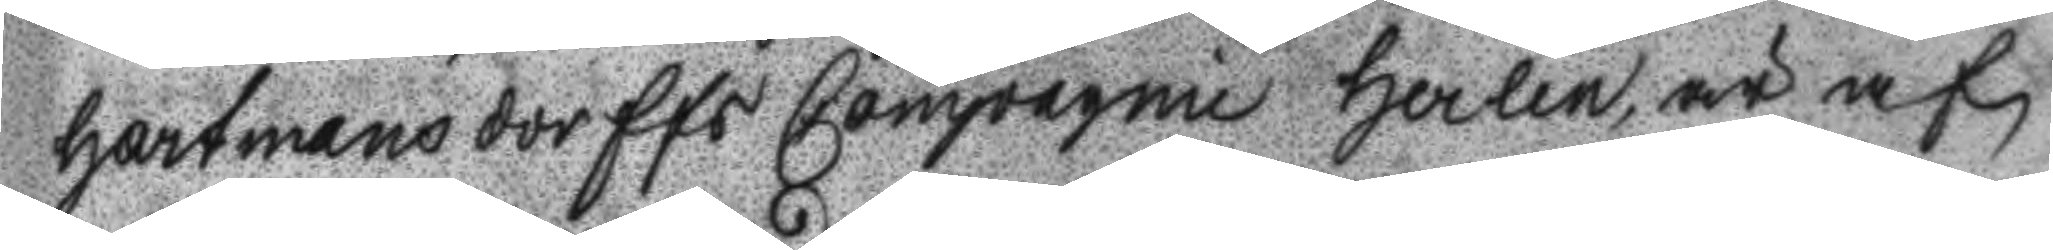Hartmansdorffs Compagnie Herlin, är af
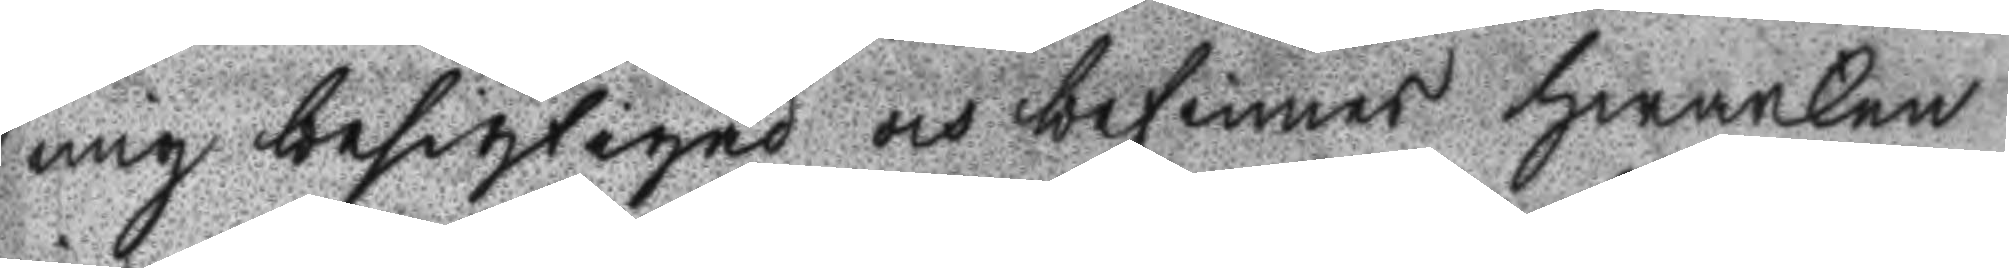mig besigtad och befinnes Hwarken
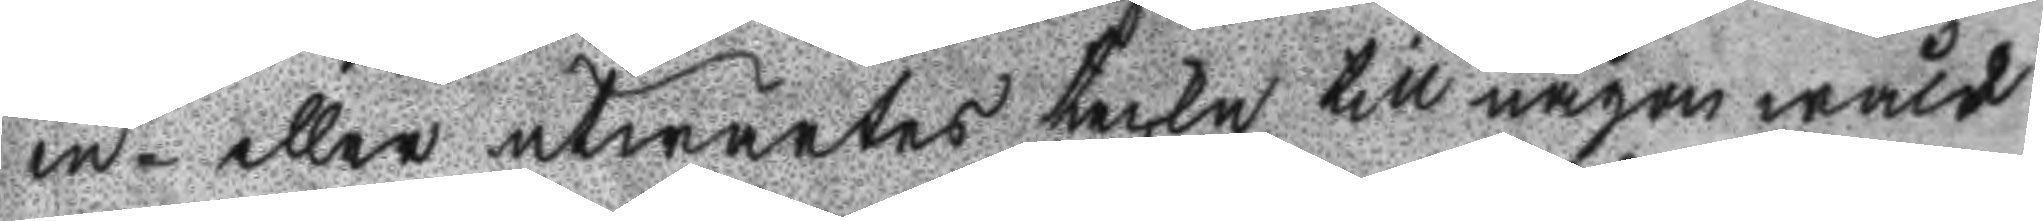in- eller utwärtes teckn till någon wåld
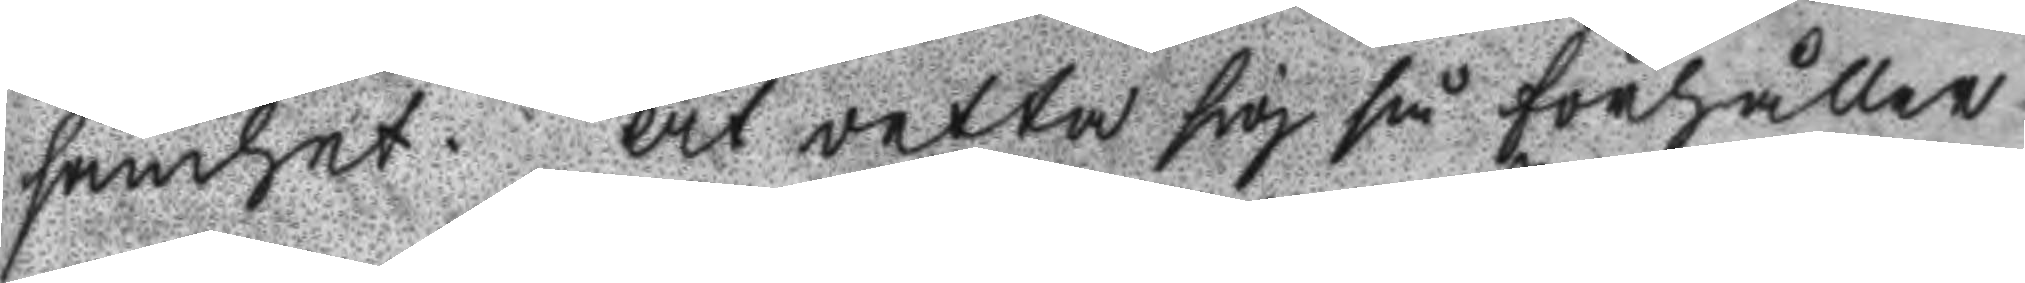samhet. At detta sig så förhåller
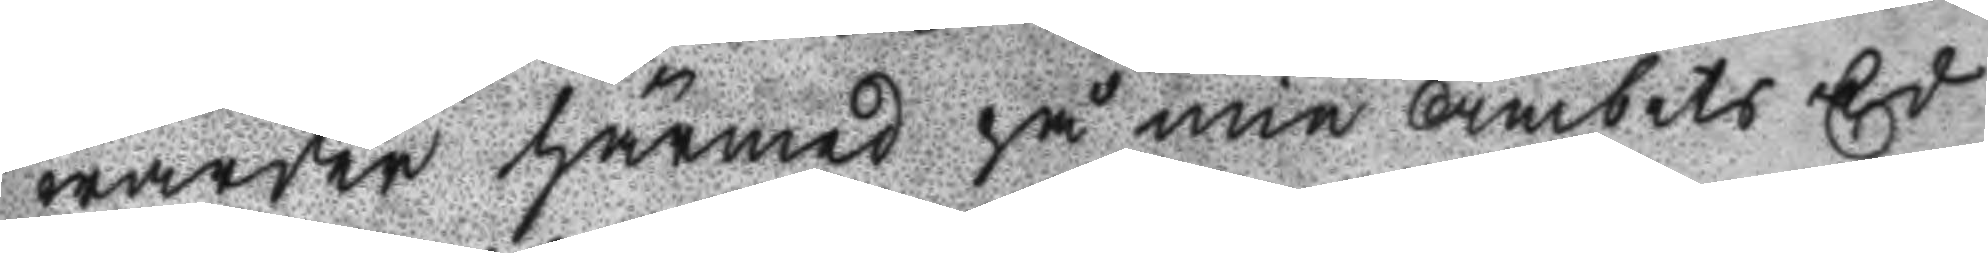warder härmed på min Ämbets Ed
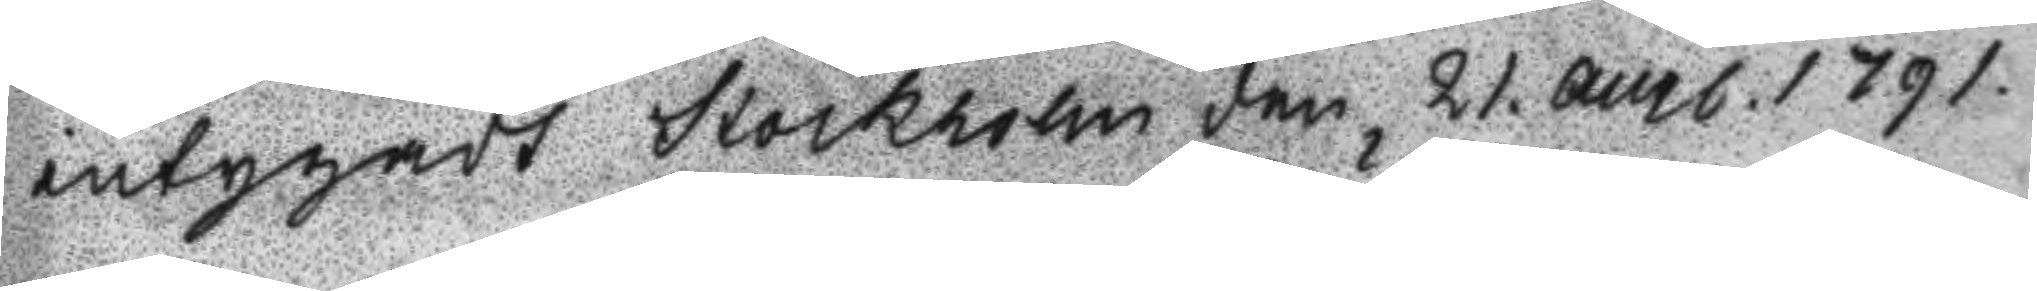intygadt Stockholm den 21. augl. 1791.
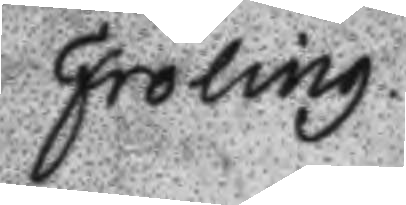Fröling.
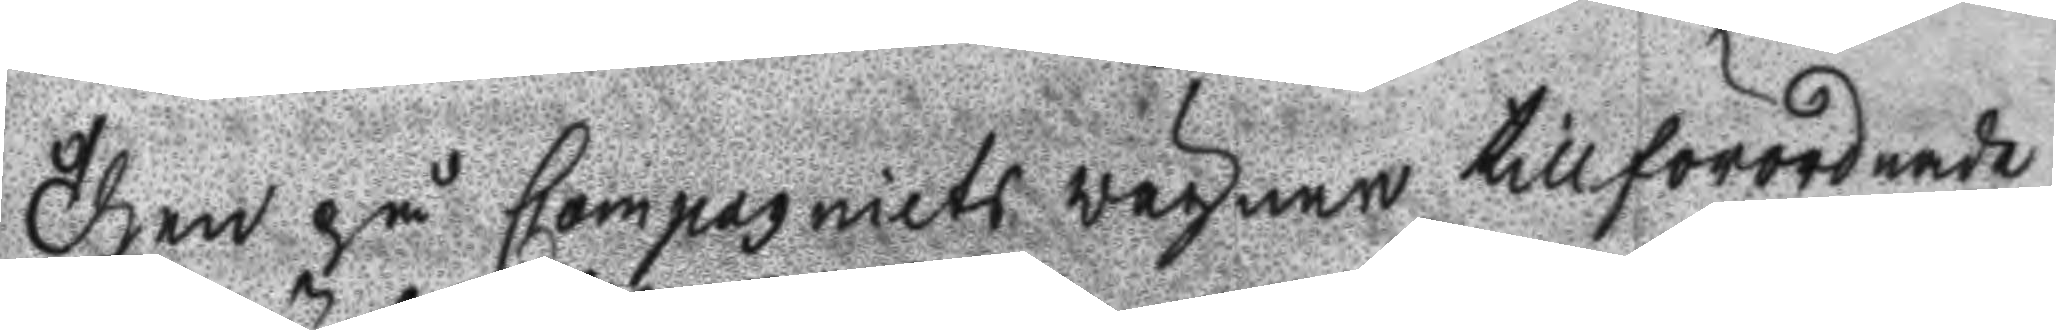Then på Copagniets wägnar tillförordnade
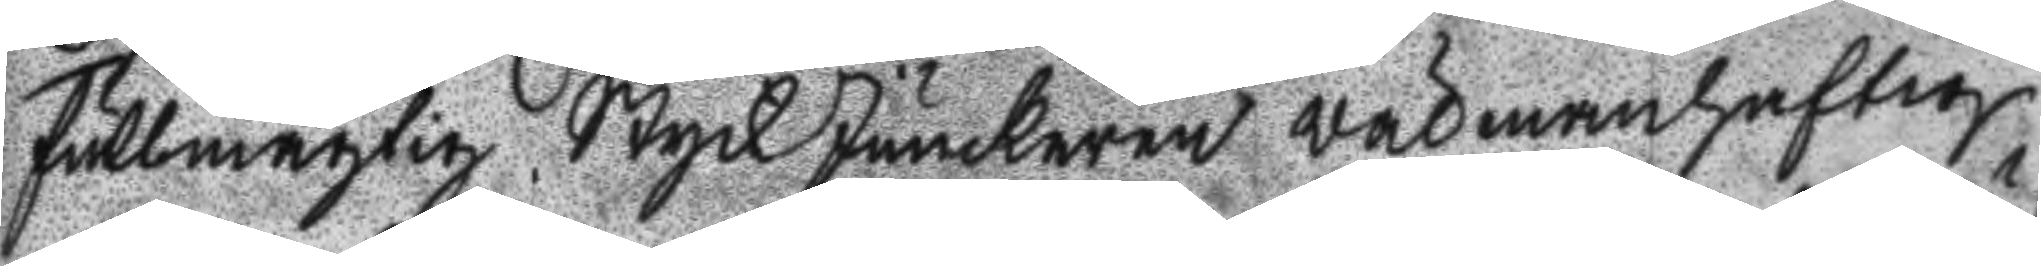Fullmägtig StyckJunckaren Välmanhaftig
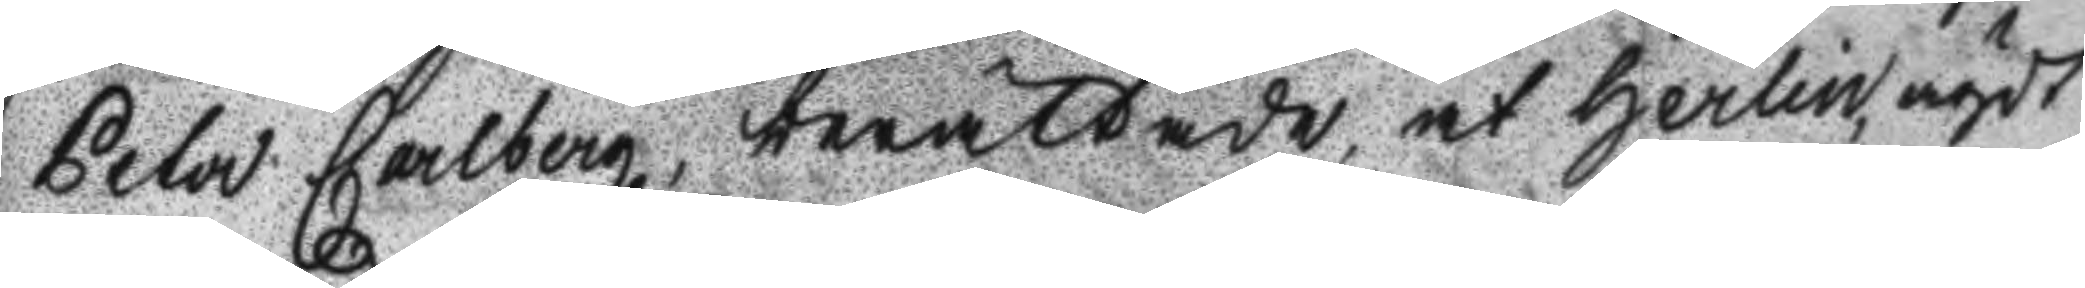Peter Carlberg, berättade, at Herlin, ägdt
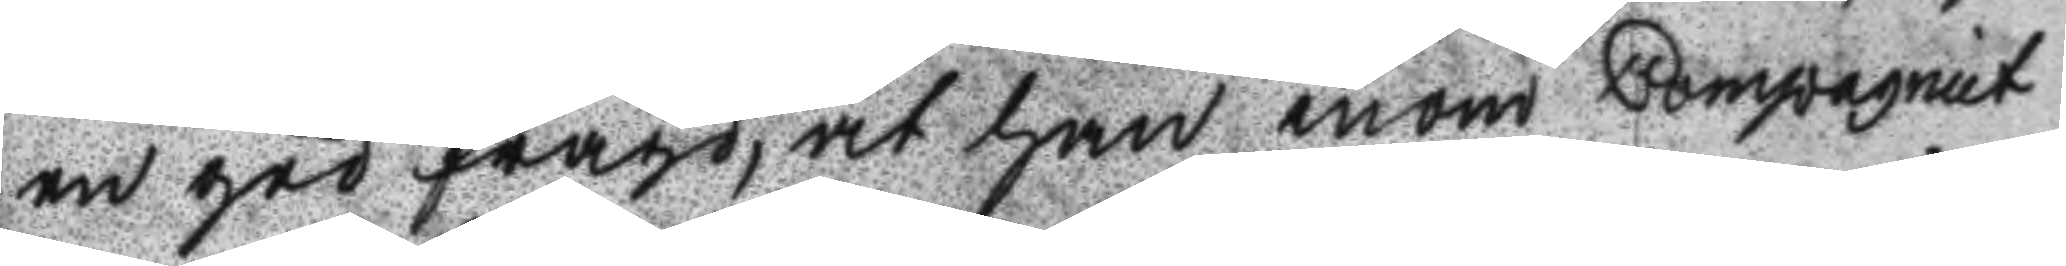en god frägd, at han inom Compagniet
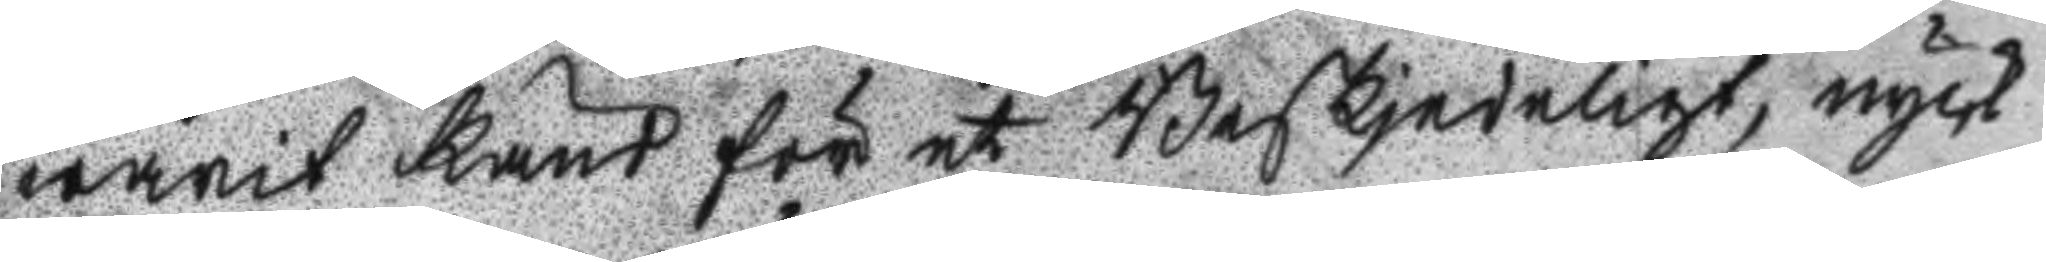warit känd för et Beskedeligt, nyck
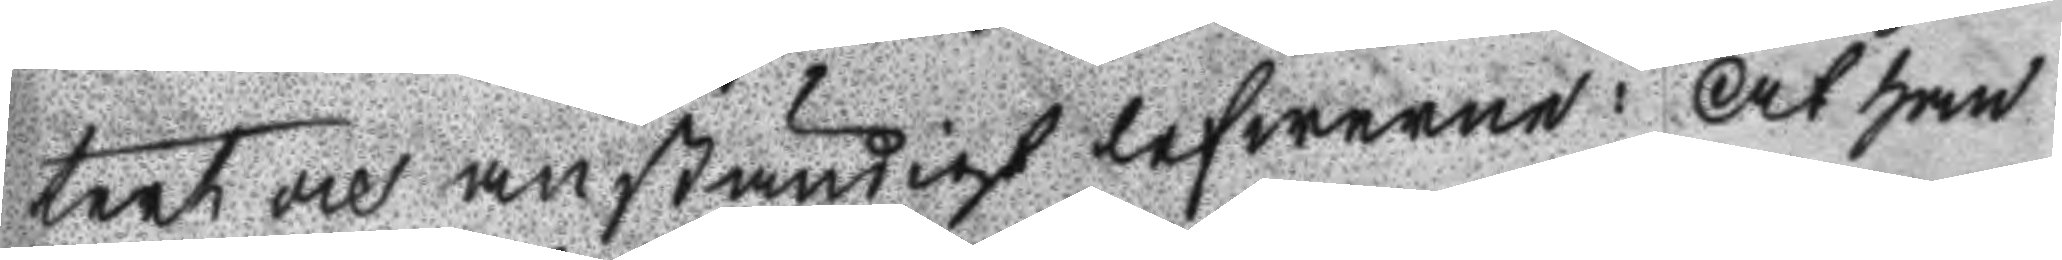tert och anständigt lefwerne: At han
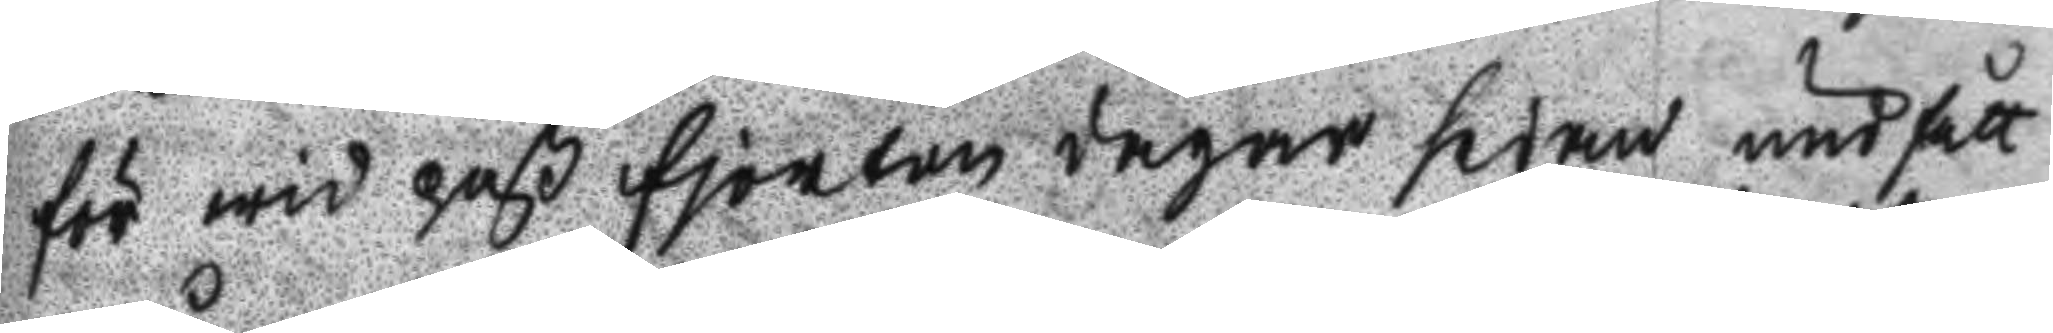för wid paß fjorton dagar sedan undfått
